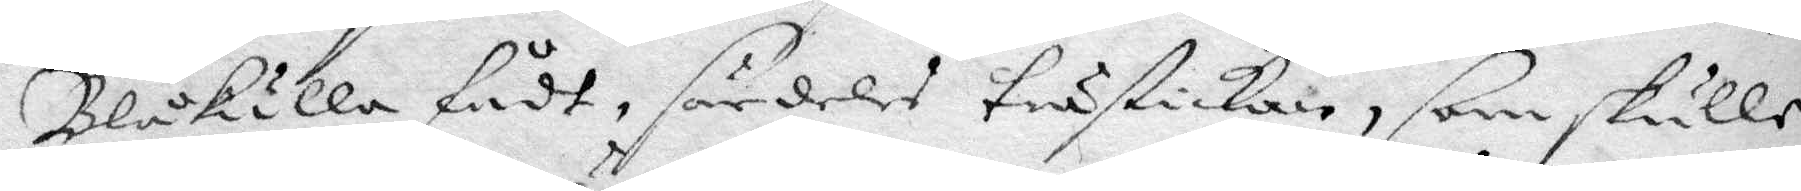Blåkulla fådt, särdeles trästickan, som skulle
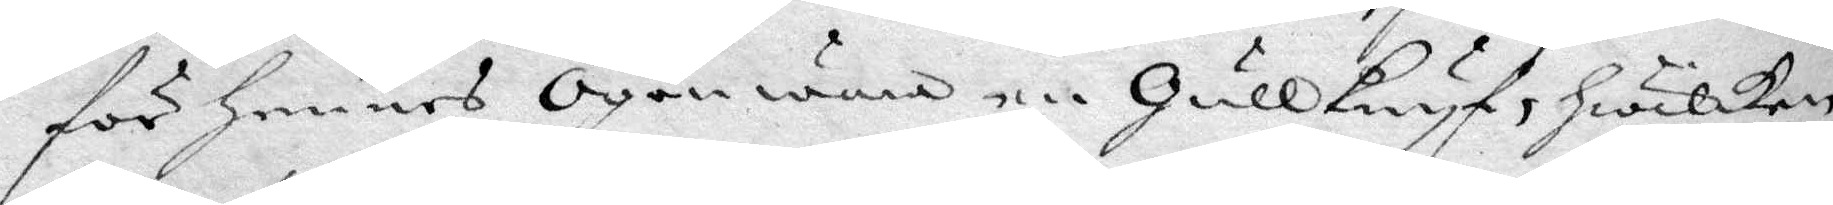för hennes Ögon wara en Gullknyf, hwilken
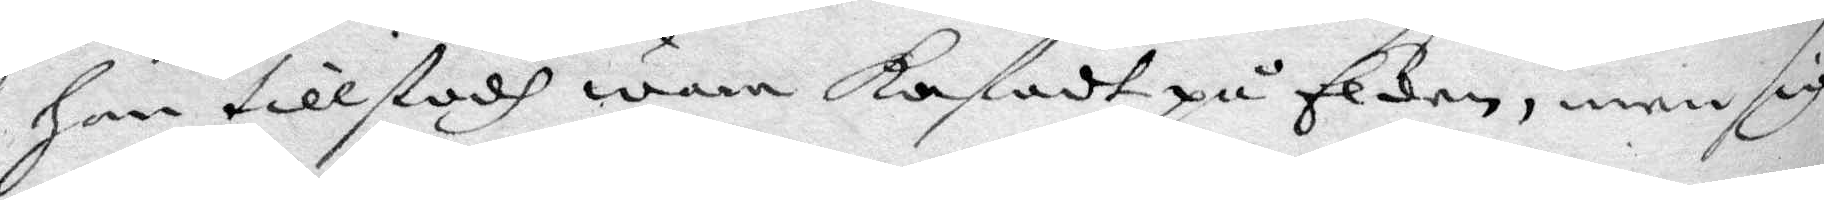hon tillstodh wara kastadt på Elden, men sig
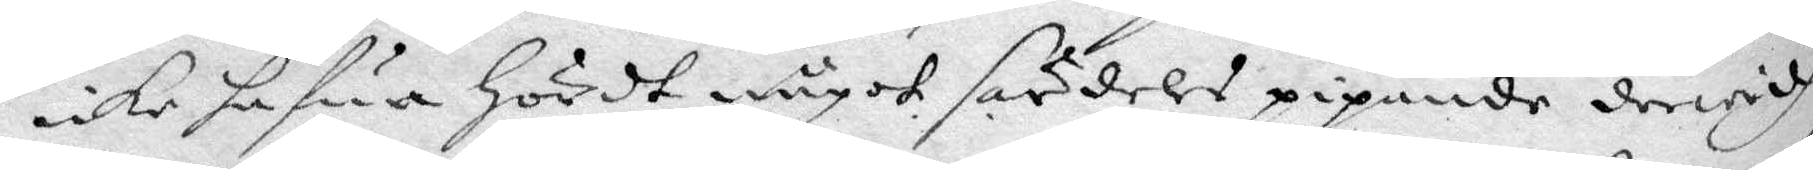icke hafua hördt något särdeles pipande derwidh
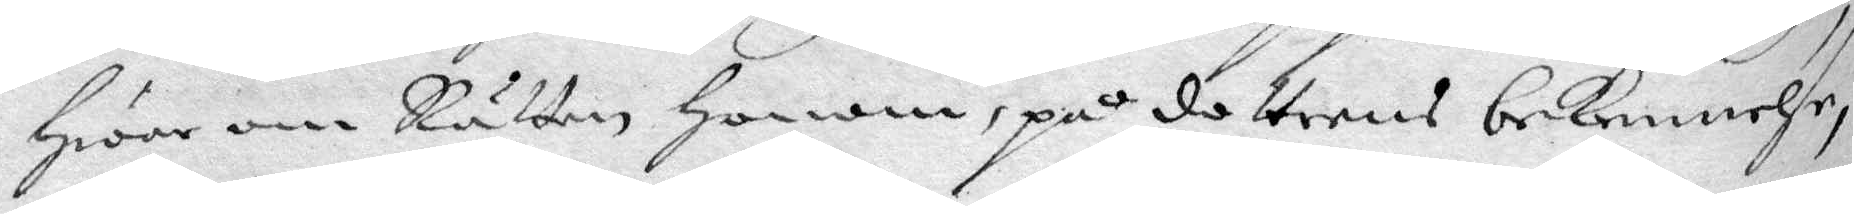hwar om Rätten honom, på dottrens bekennelse
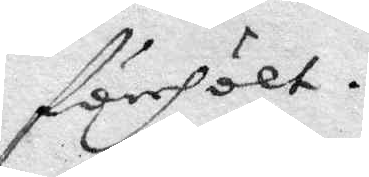förehölt.
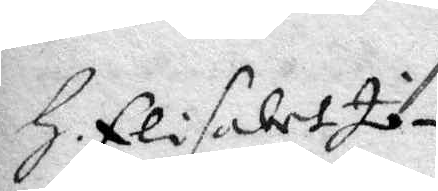H. Elisabet Jo¬
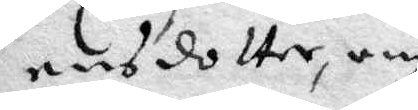ensdotter, om
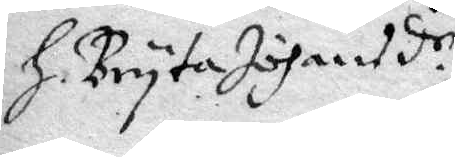H. Bryta Johansd.r
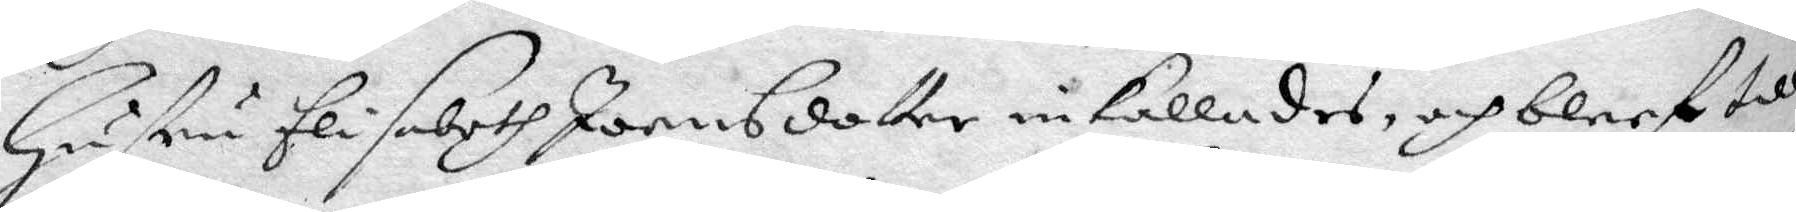Hustru Elisabeth Joensdotter inkallades, och bleef till¬
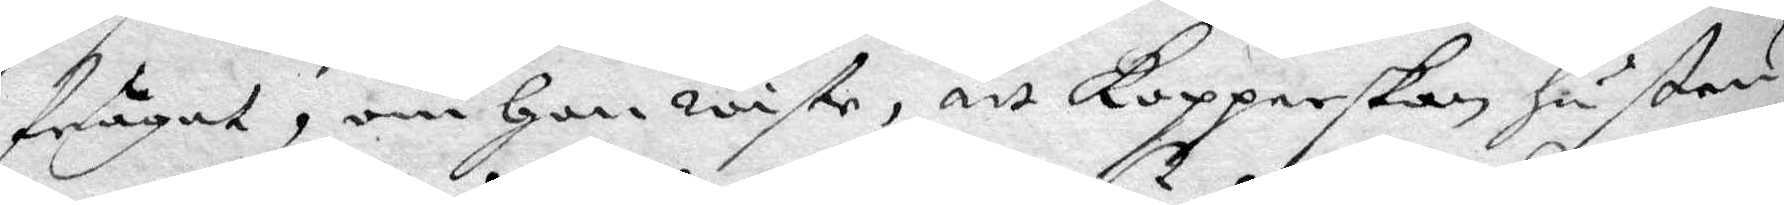frågat, om hon wiste, att kopperskan hustru
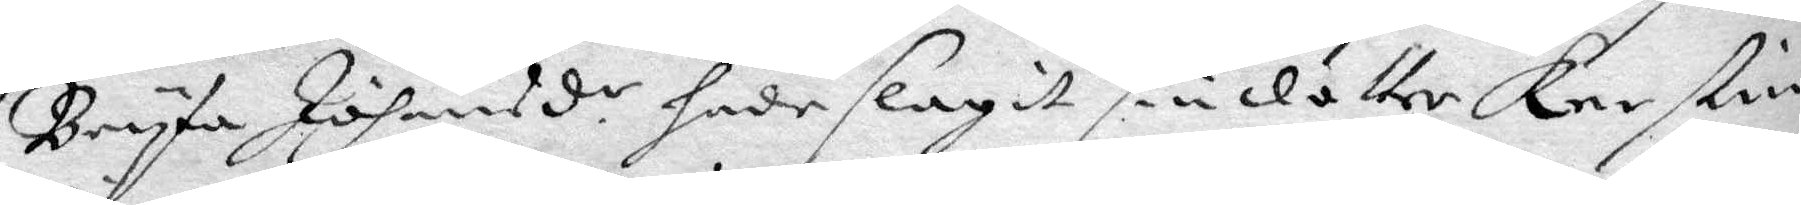Bryta Joansd.r hade slagit sin dotter Kerstin
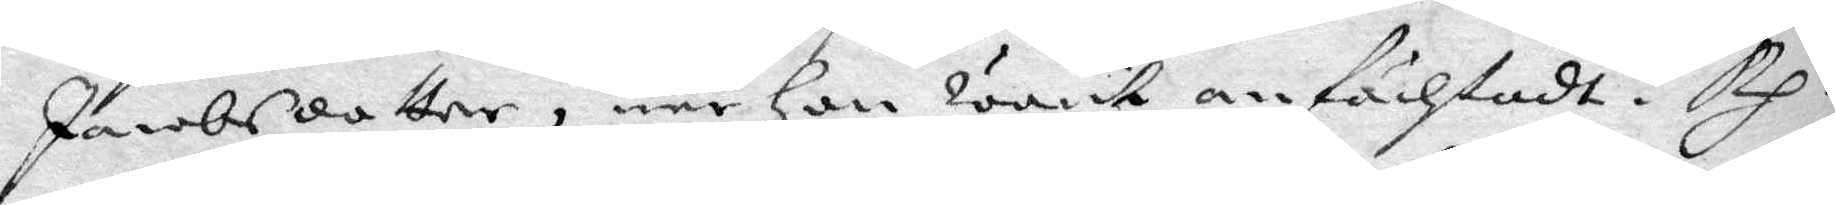Jacobsdotter, när hon warit anfächtadt? Rp.
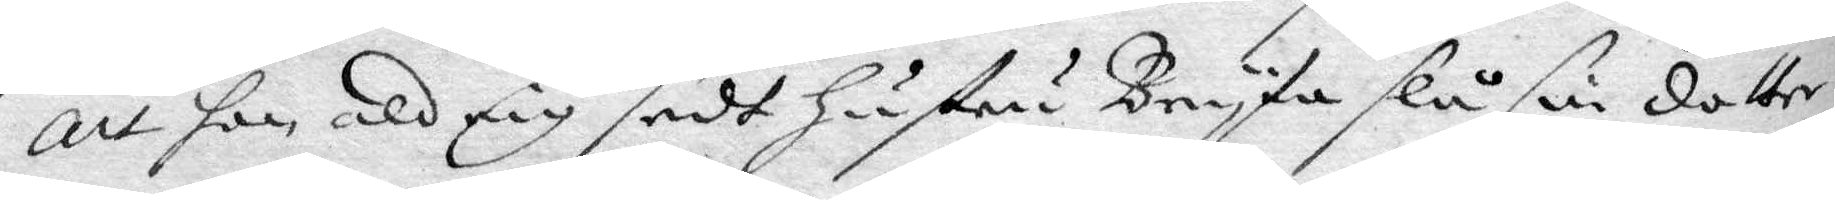att hon aldrig sedt hustru Bryta slå sin dotter,
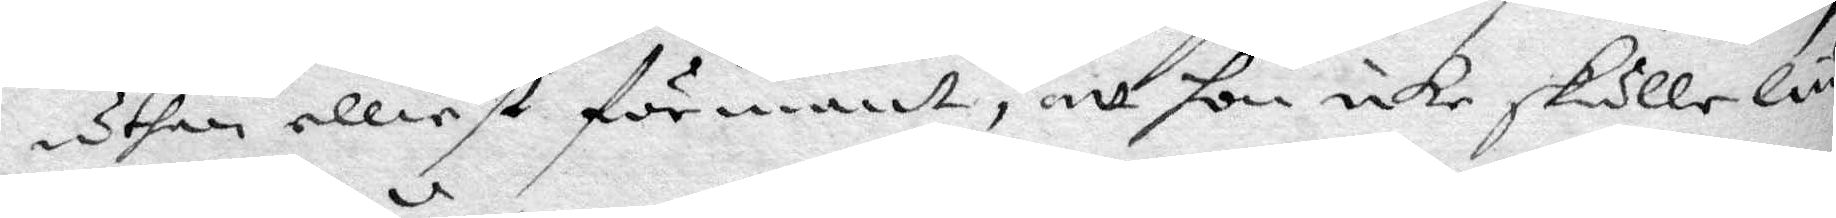uthan elliest förmant, att hon icke skulle liu¬
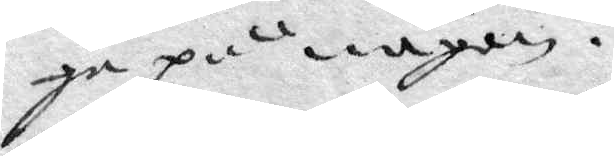ga på någon.
